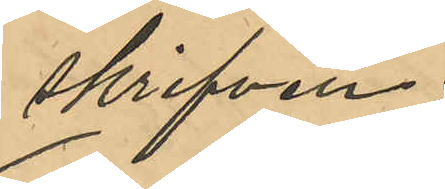skrifven;
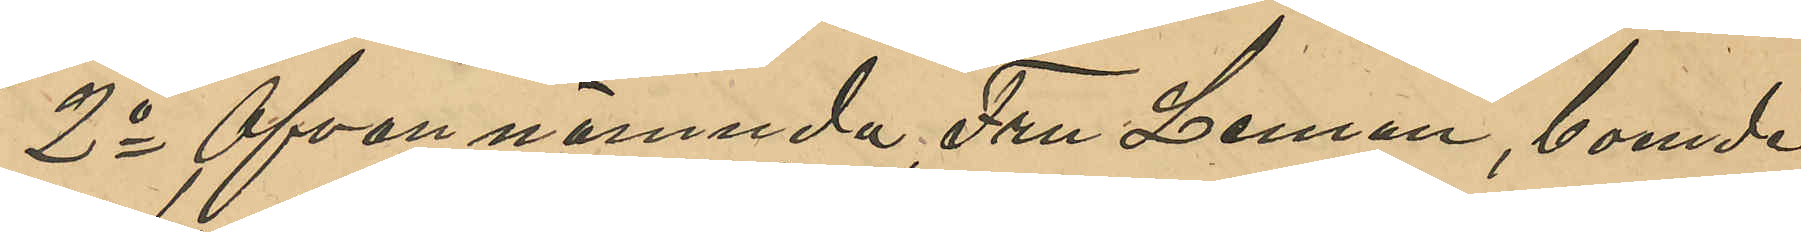2o Ofvannämnda Fru Leman, boende 
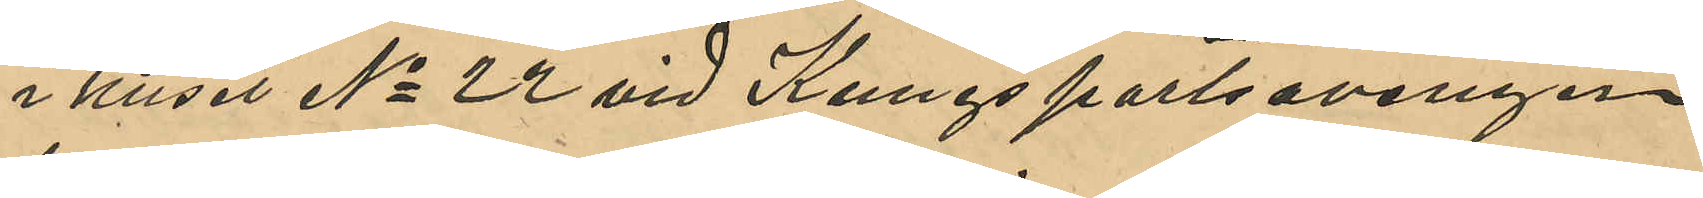i huset No 22 vid Kungsportsavenyen
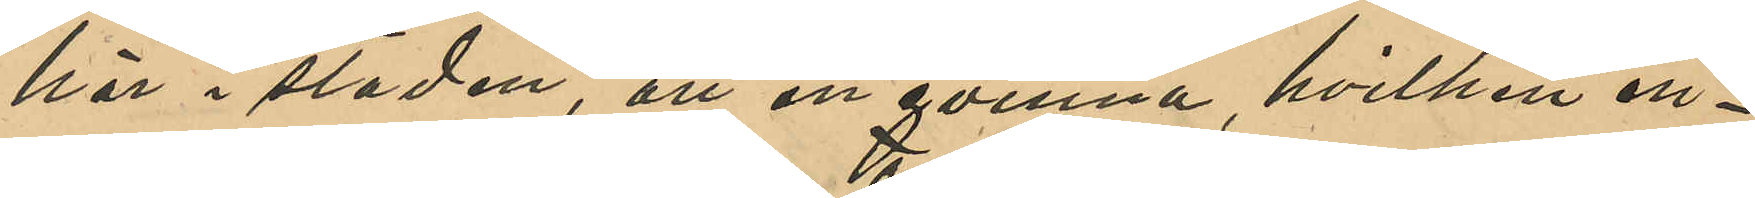här i staden, att en qvinna, hvilken en¬
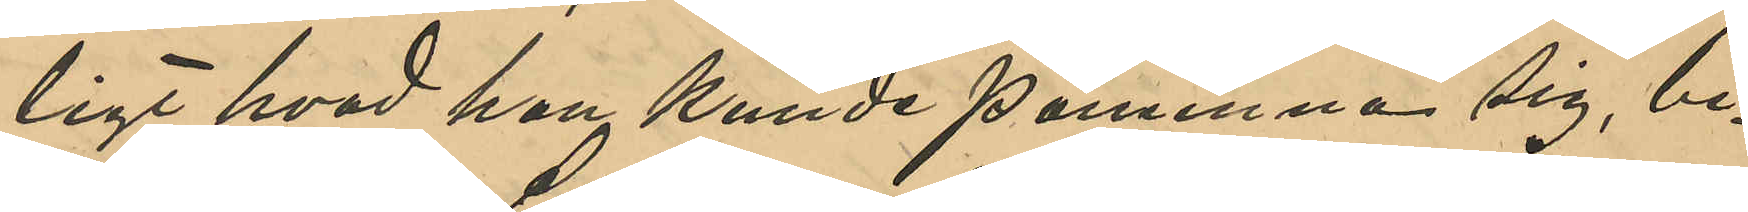ligt hvad hon kunde påminna sig, be¬
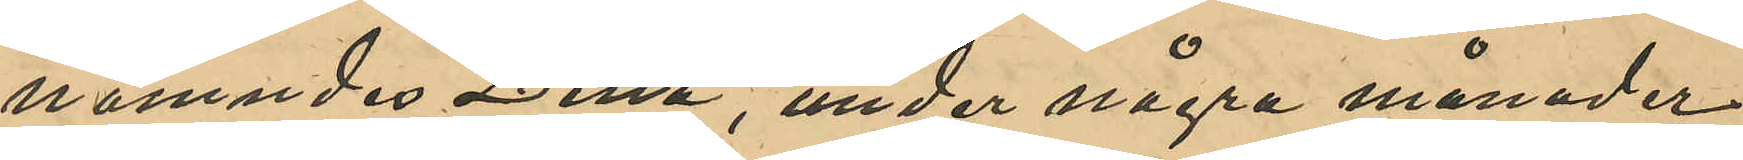nämndes Lina, under några månader
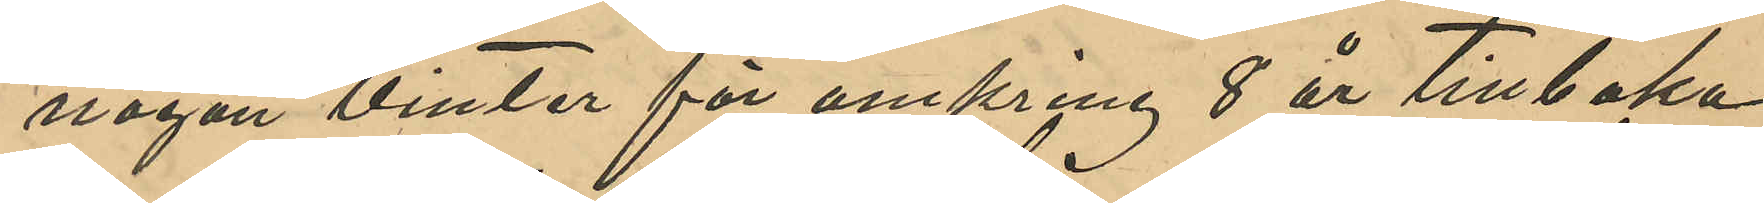någon vinter för omkring 8 år tillbaka
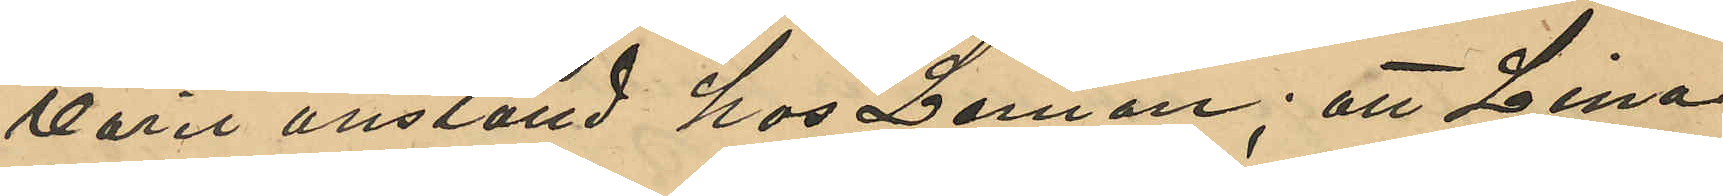varit anställd hos Leman; att Lina
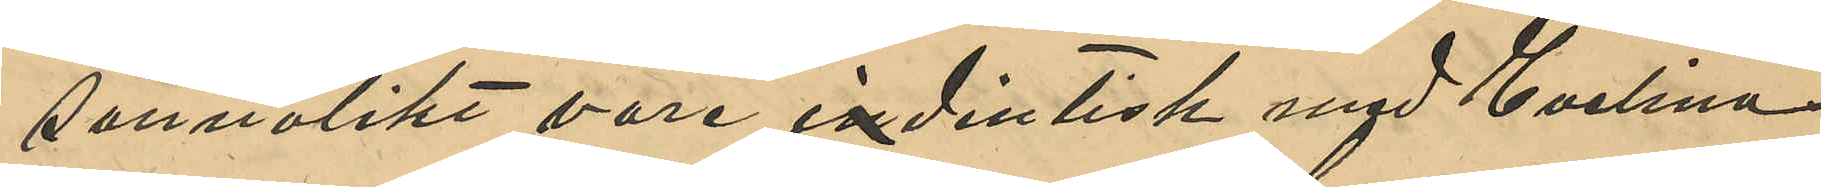sannolikt vore indentisk med Evelina
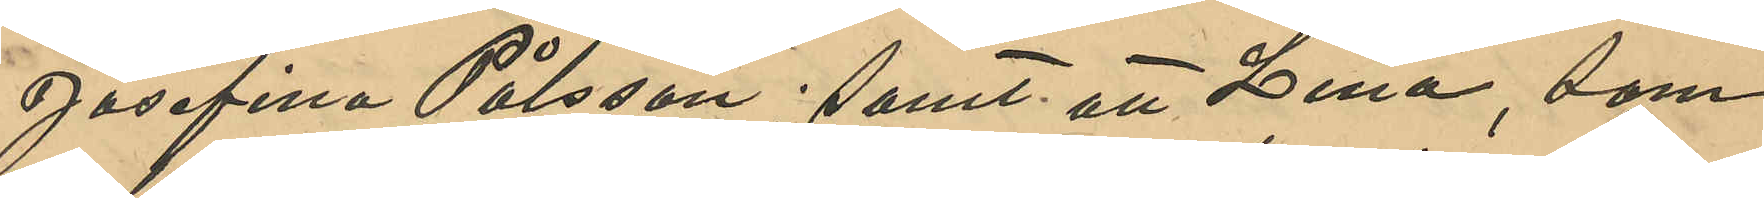Josefina Pålsson; samt att Lina, som
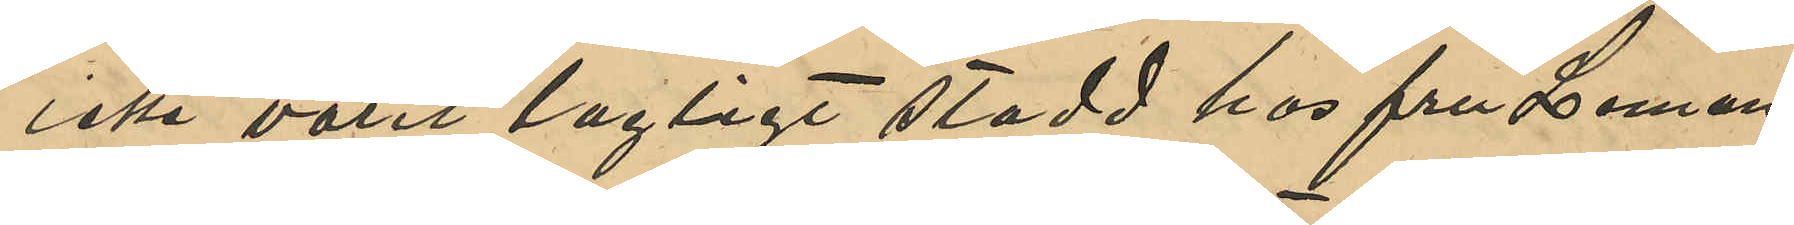icke varit lagligt stadd hos fru Leman,
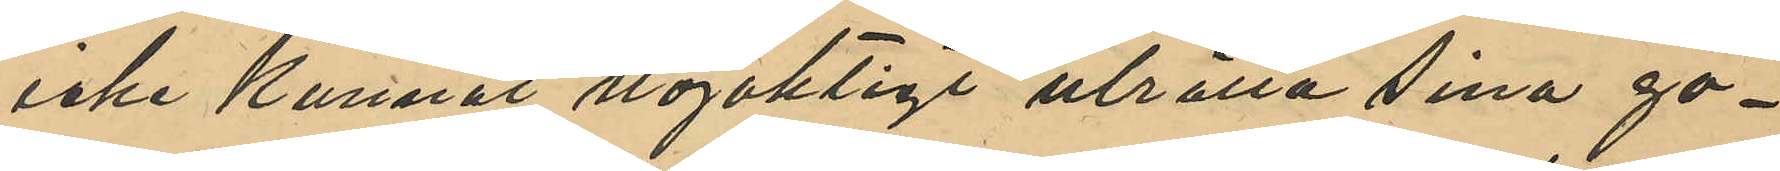icke kunnat nöjaktigt uträtta sina gö¬
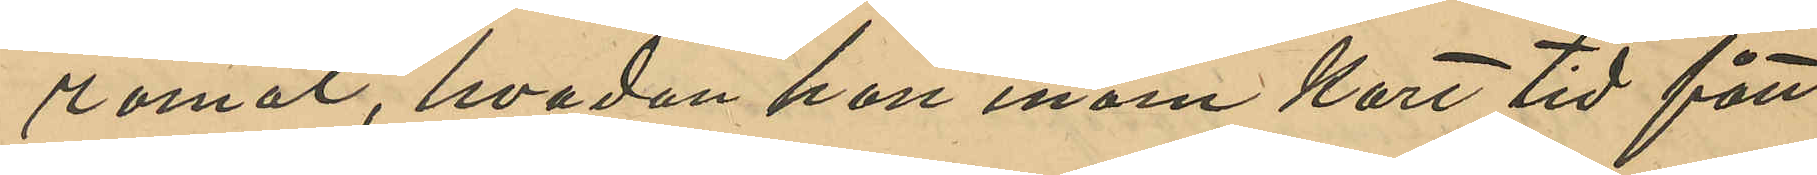romål, hvadan hon inom kort tid fått
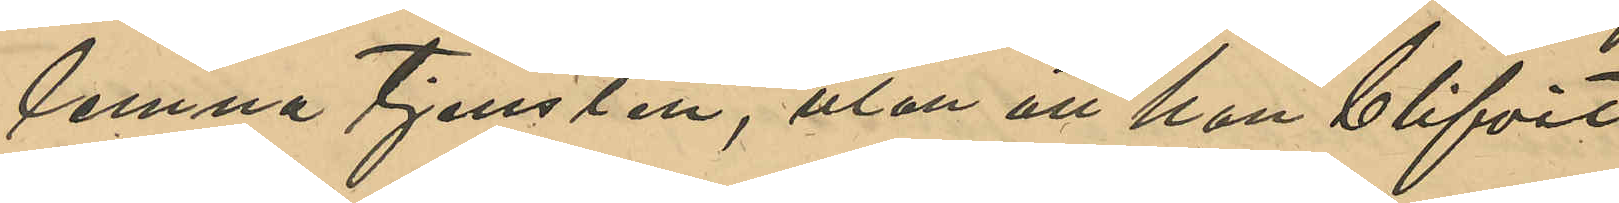lemna tjensten, utan att hon blifvit
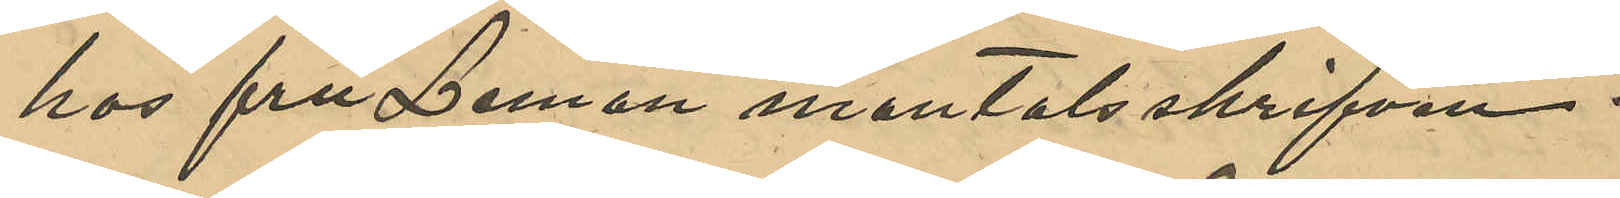hos fru Leman mantalsskrifven.
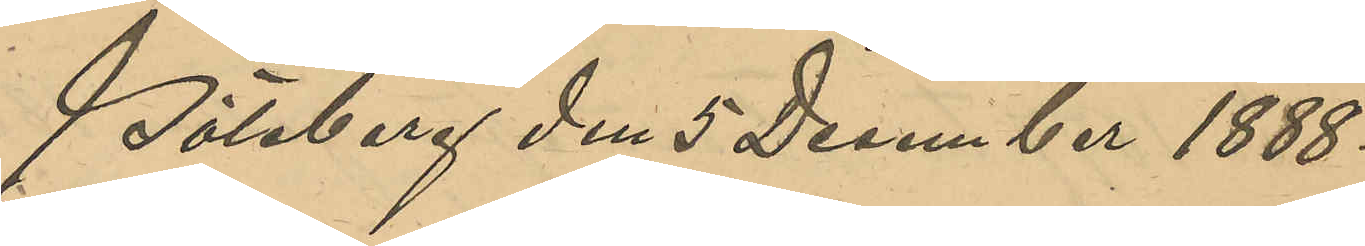Göteborg den 5 December 1888.
